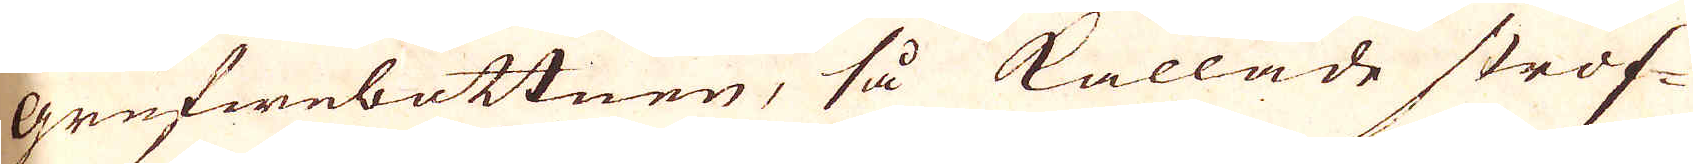grufwebottnen, så kallade stros-
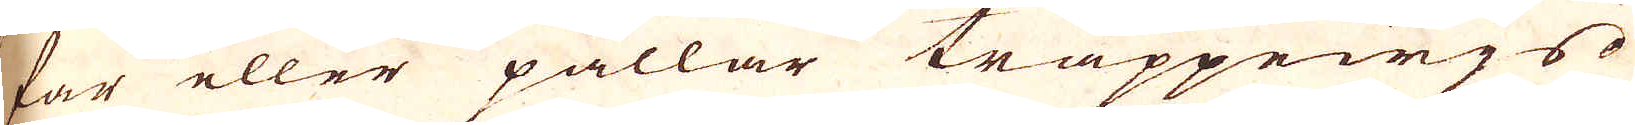sar eller pallar trappewjs
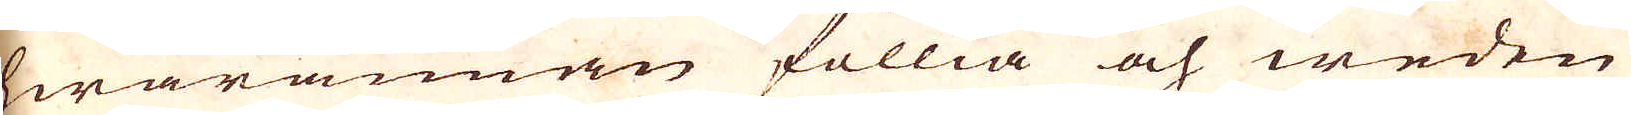hwarannan föllia och weden
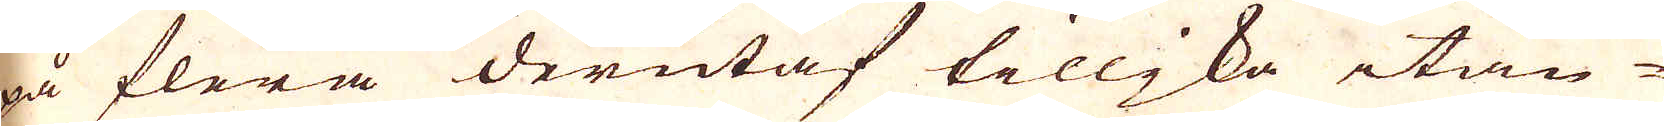på flera derutaf tilljka itän-
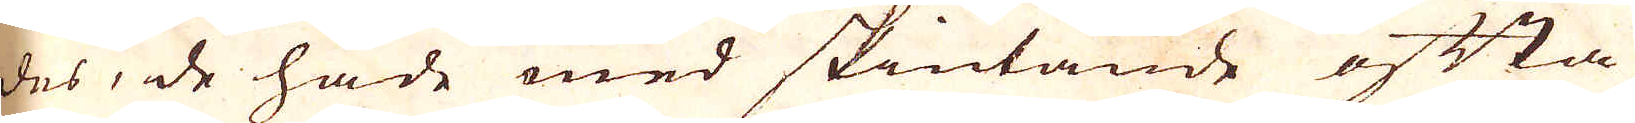des, de hade med skiutande ofta
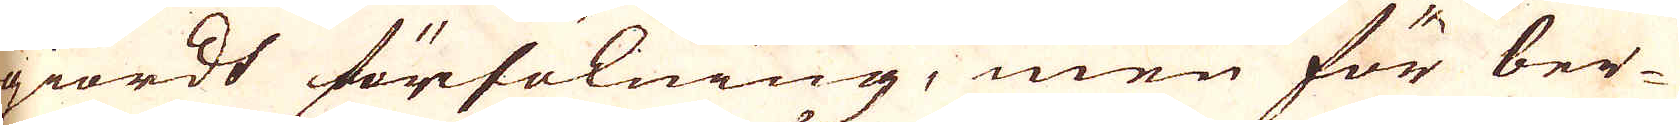giordt försökning, men för ber-
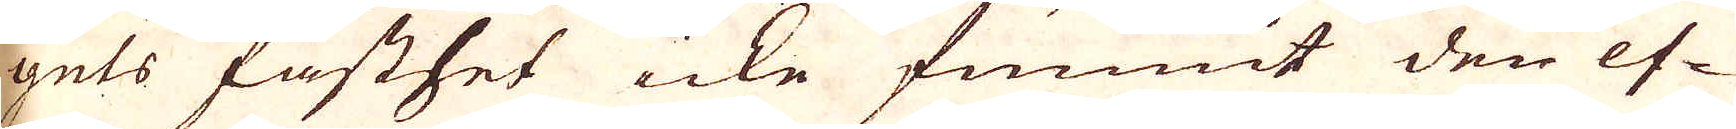gets fasthet icke funnit den ef-
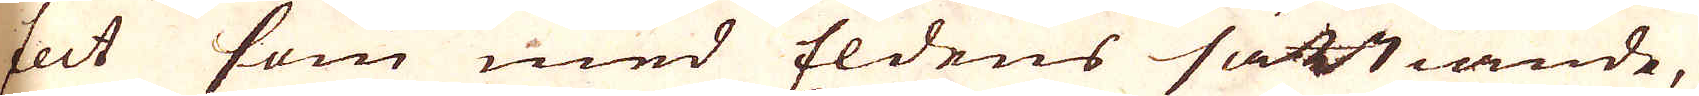fect som med Eldens sättiande,
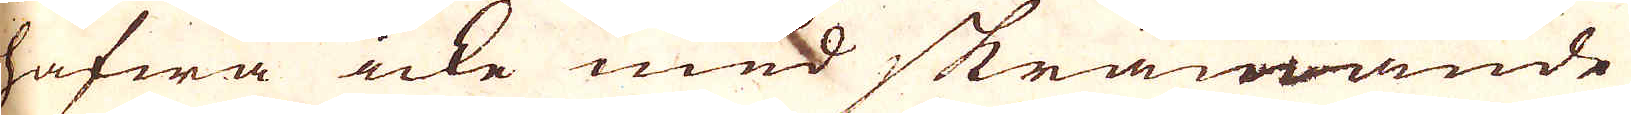hafwa icke med skrämmande
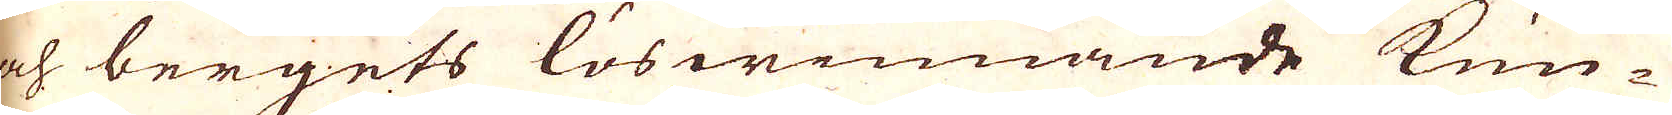och bergets löswinnande kun-
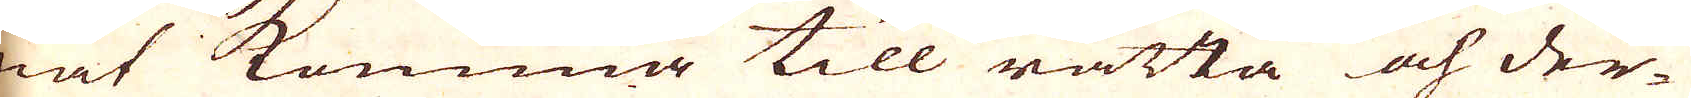nat komma till rätta och der-
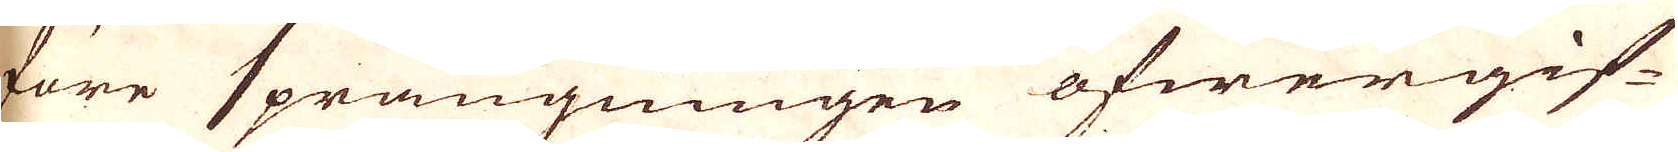före sprängningen öfwergif-
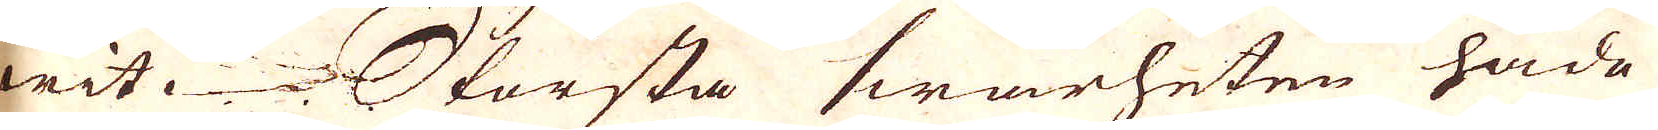wit. Största swårheten hade
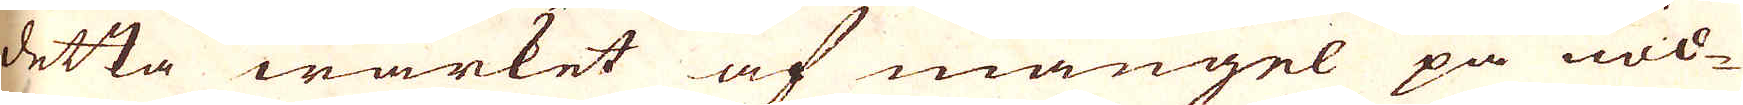detta wärket af mangel på nöd-
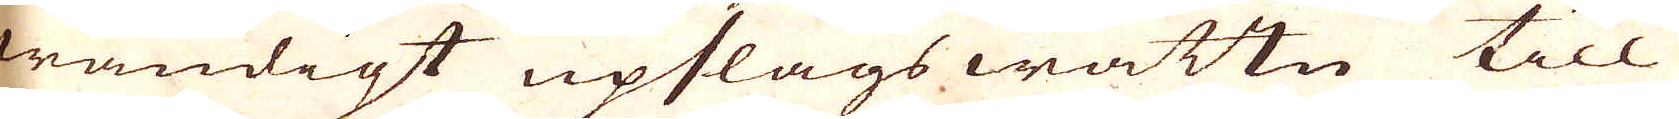wändigt upslags wattn till
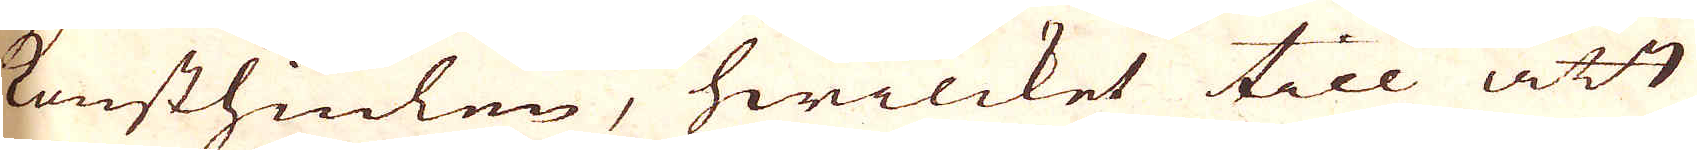konsthiulen, hwilcket till att
